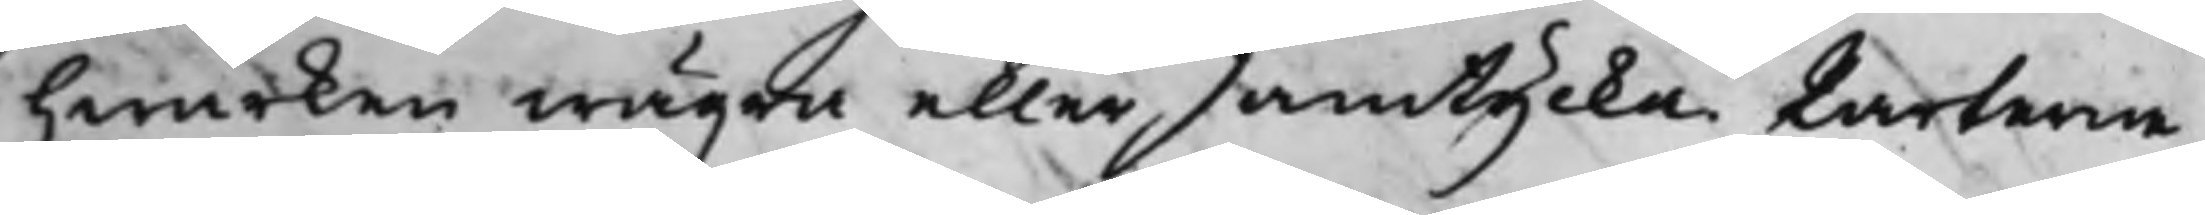hwarken wägra eller samtycka. Parterne
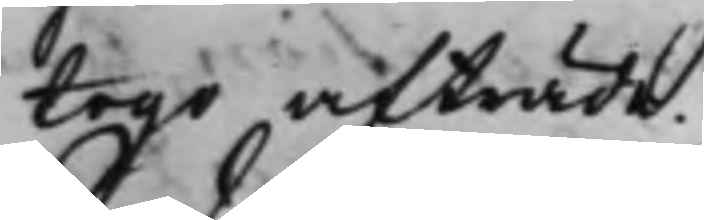togo afträde.
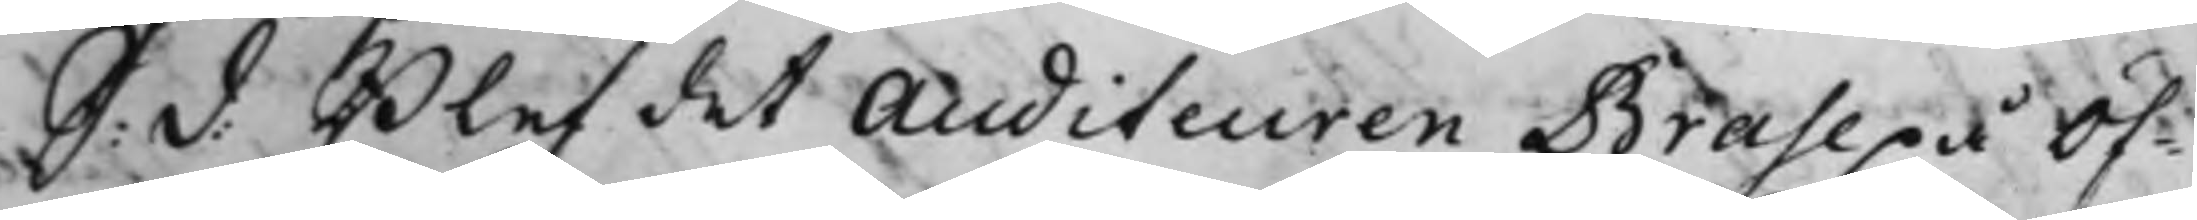S: d: Blef det Auditeuren Brahe på Öf¬
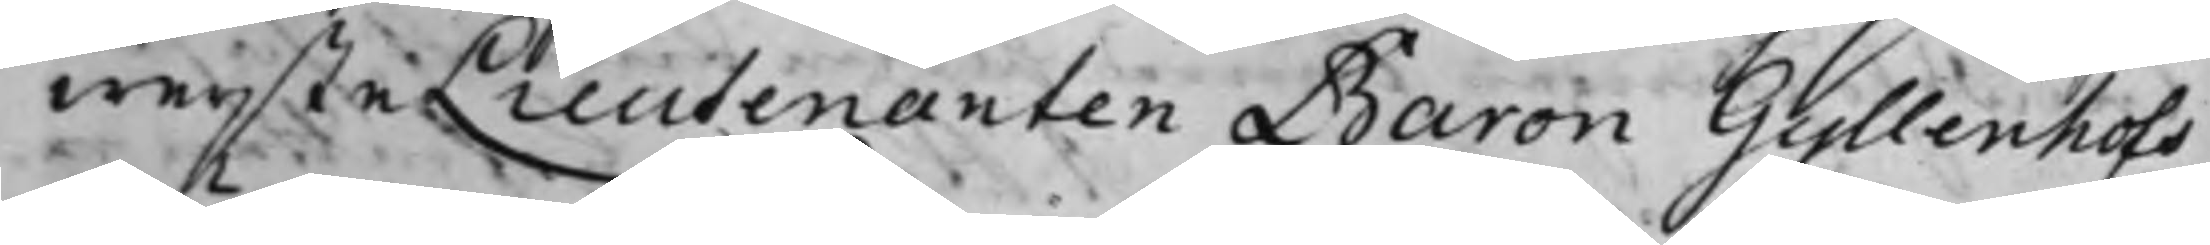wersteLieutenanten Baron Gyllenhofs
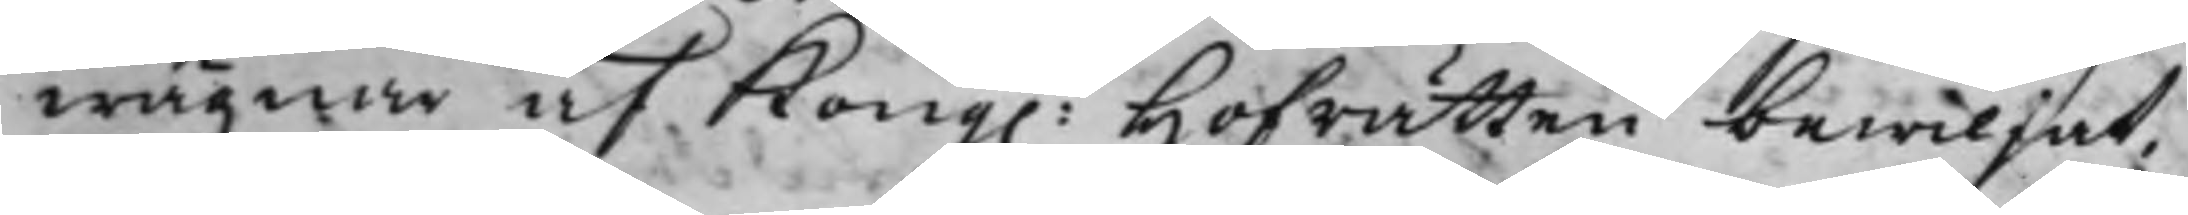wägnar af Kong. Hofrätten bewiljat,
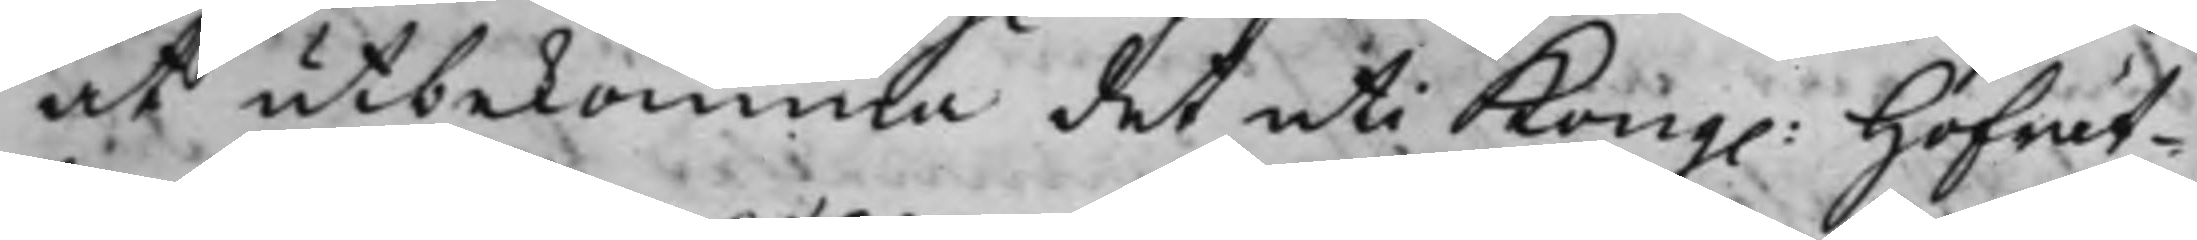at utbekomma det uti Kong. Hofrät¬
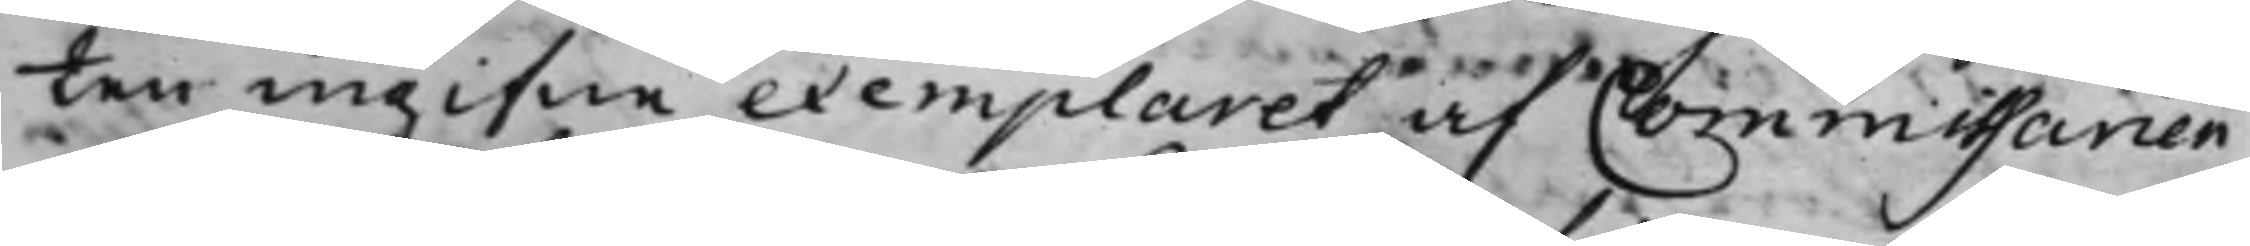ten ingifne exemplaret af Commissarien
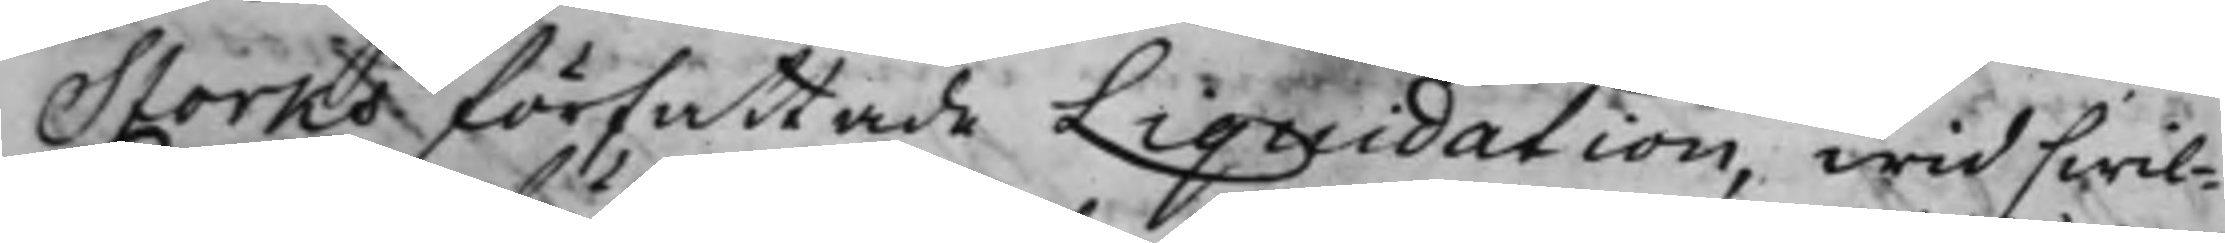Storks författade Liquidation, wid hwil¬
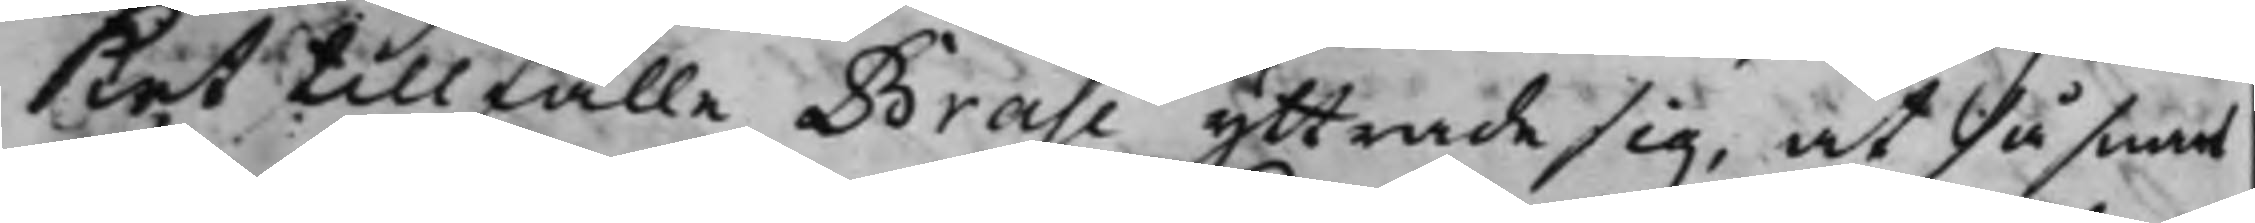det tillfälle Brahe yttrade sig, at så samt
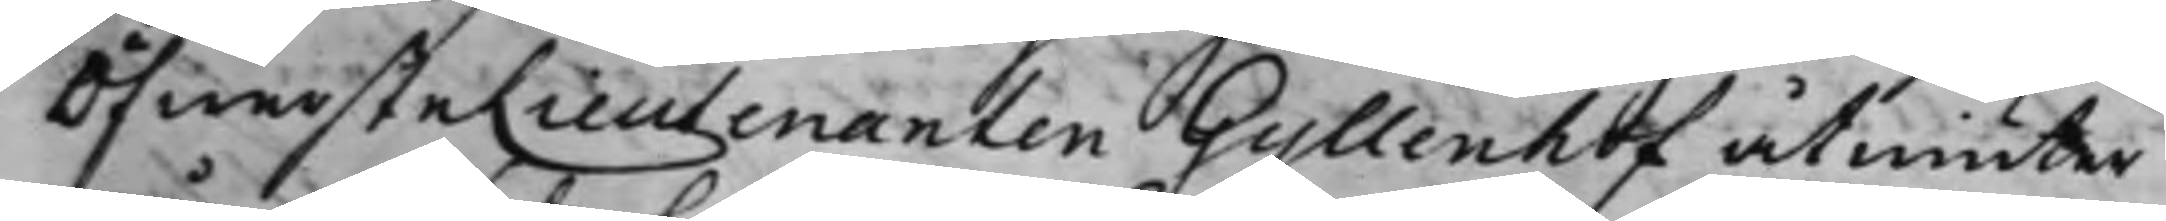ÖfwersteLieutenanten Gyllenhof åtniuter
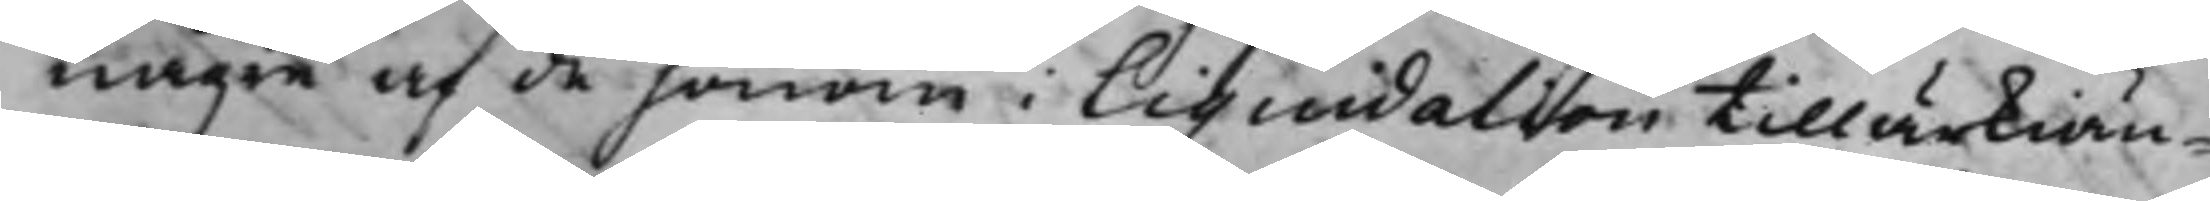någre af de honom i Liquidation tillärkiän¬
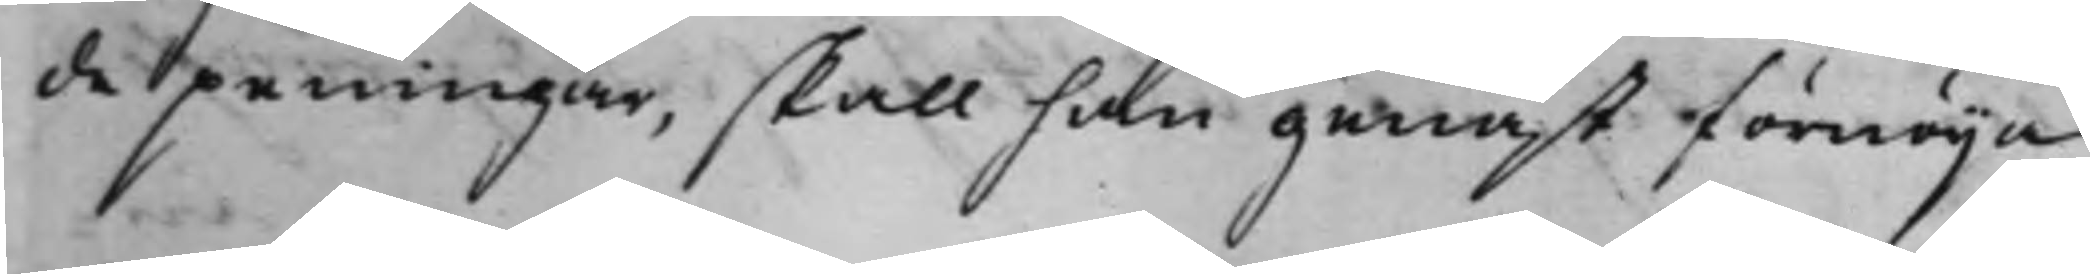de peningar, skall han genast förnöija
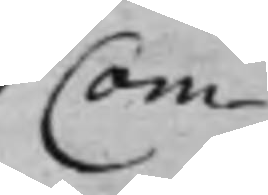Com¬
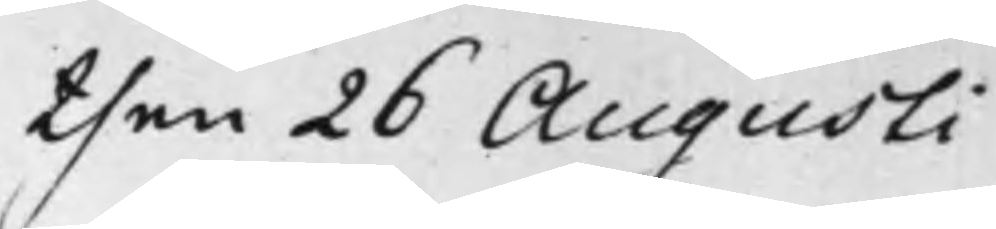then 26 Augusti
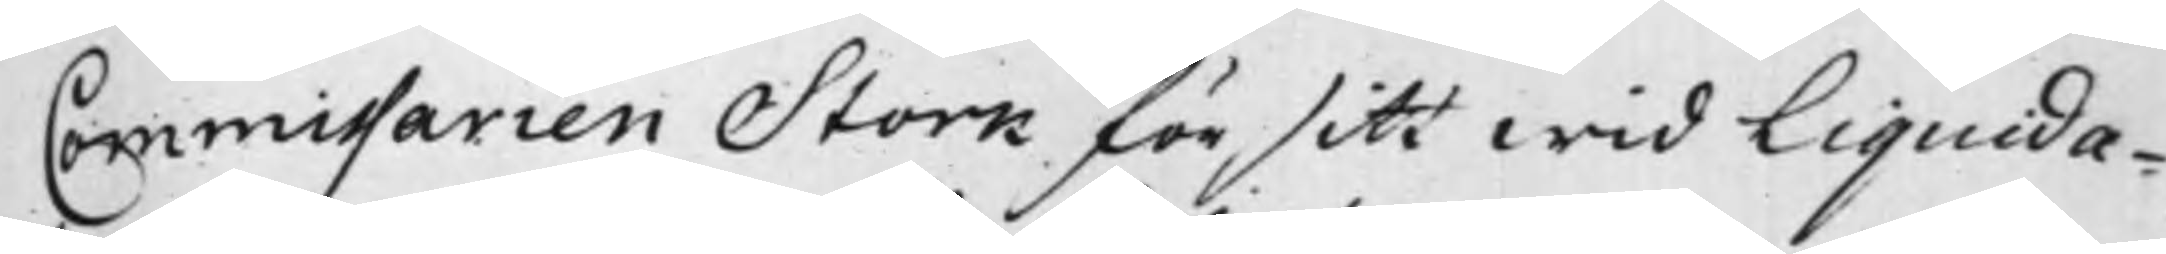Commissarien Stork för sitt wid Liquida¬
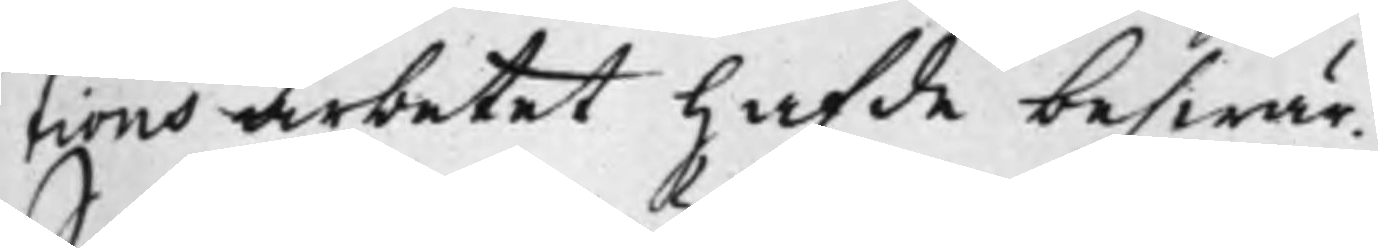tions arbetet hafde beswär,
